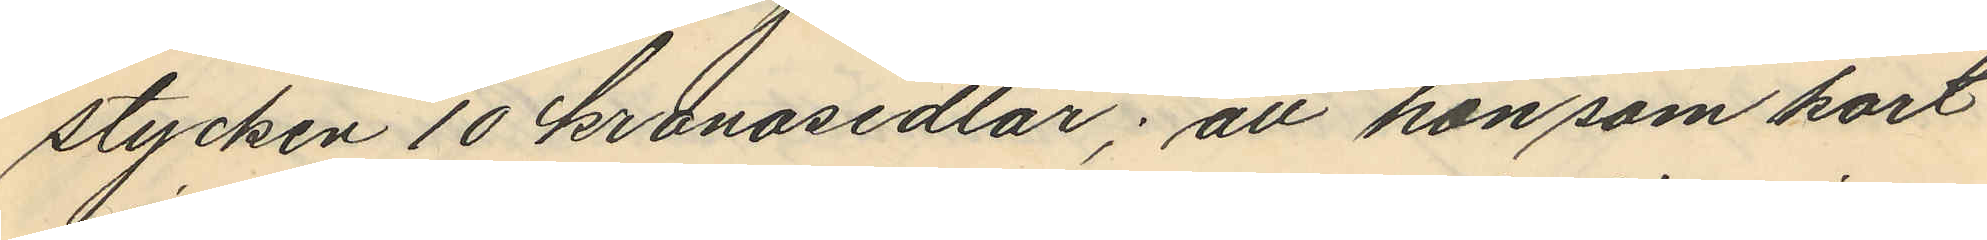stycken 10 kronosedlar; att hon som kort
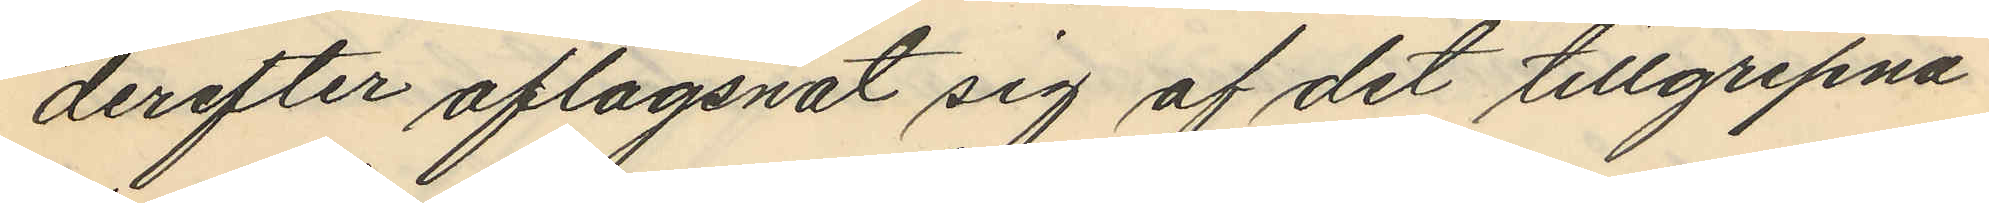derefter aflägsnat sig af det tillgripna
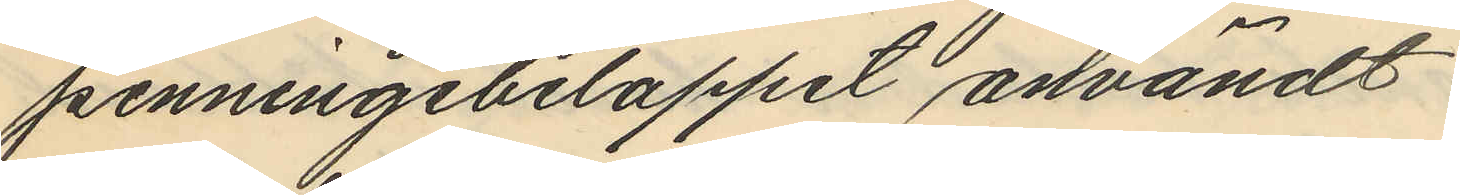penningebeloppet användt.
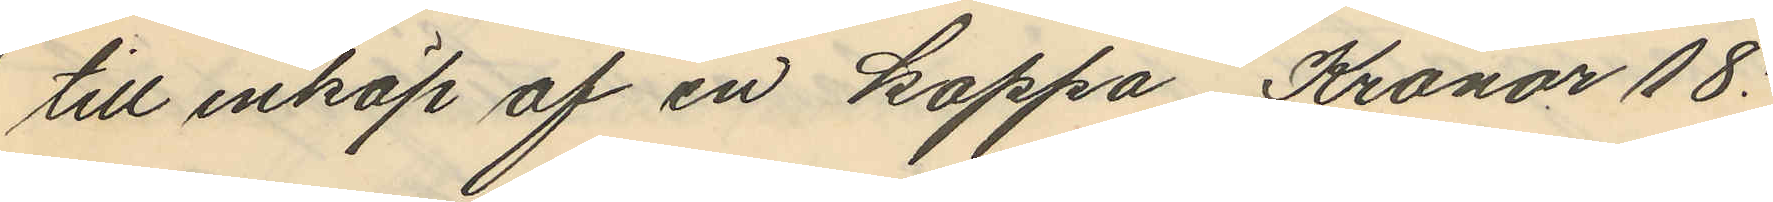till inköp af en kappa Kronor 18:
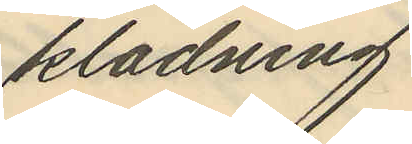klädning
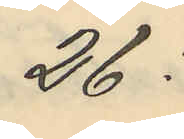26:
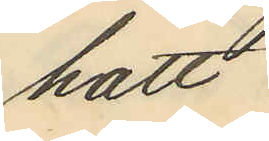hatt
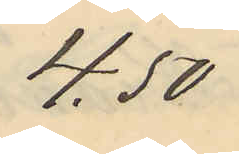4.50
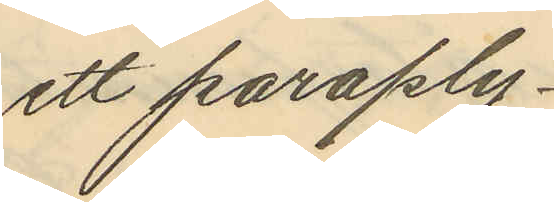ett paraply
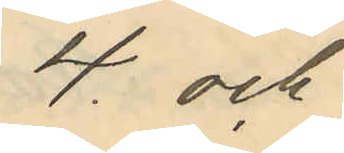4 och
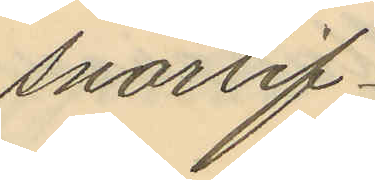snörlif
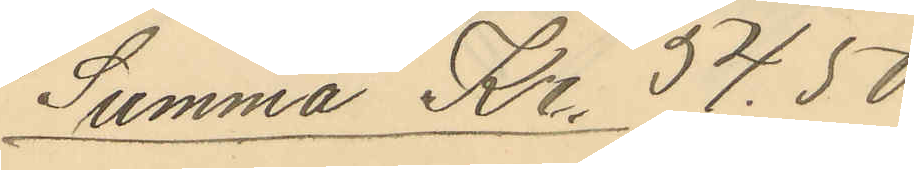Summa Kr. 54.50
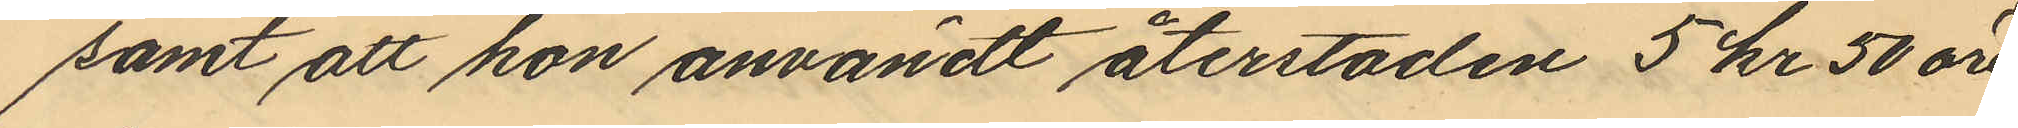samt att hon användt återstoden 5 kr 50 öre
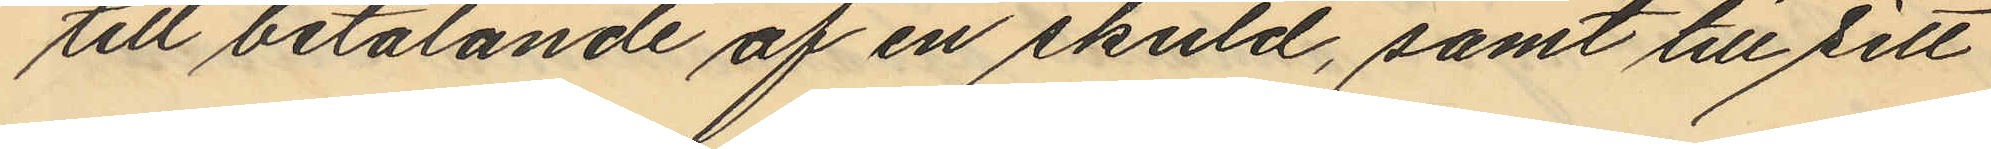till betalande af en skuld, samt till sitt
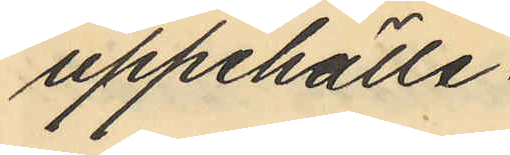uppehälle.
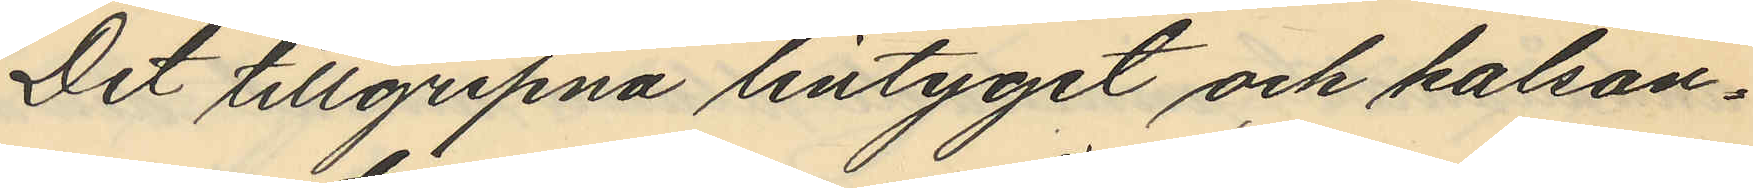Det tillgripna lintyget och kalson¬
